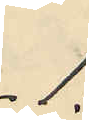1:
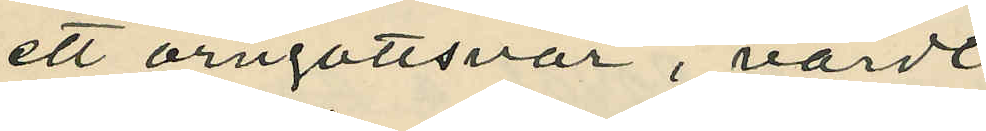ett örngottsvar, värdt
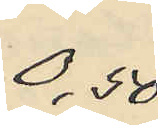0,50
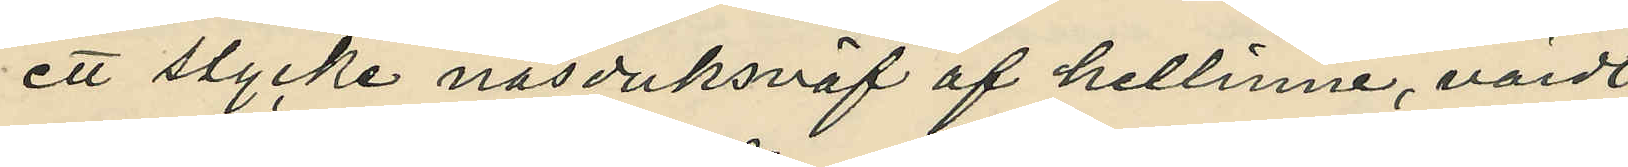ett stycke näsduksväf af hellinne, värdt
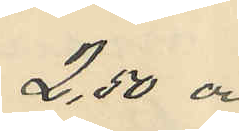2,50 och
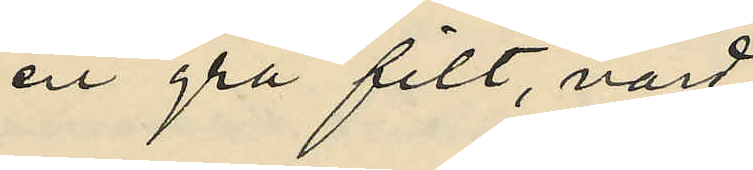en grå filt, värd
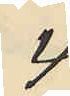4:
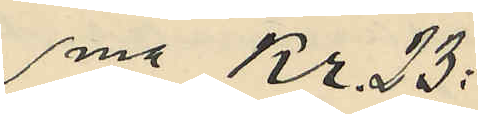Sma Kr. 23:
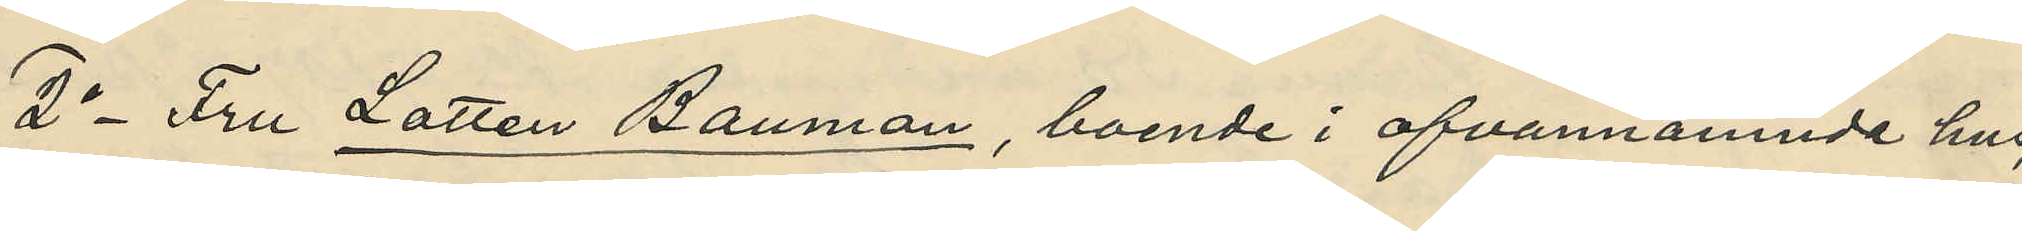2o Fru Lotten Bauman, boende i ofvannämnde hus,
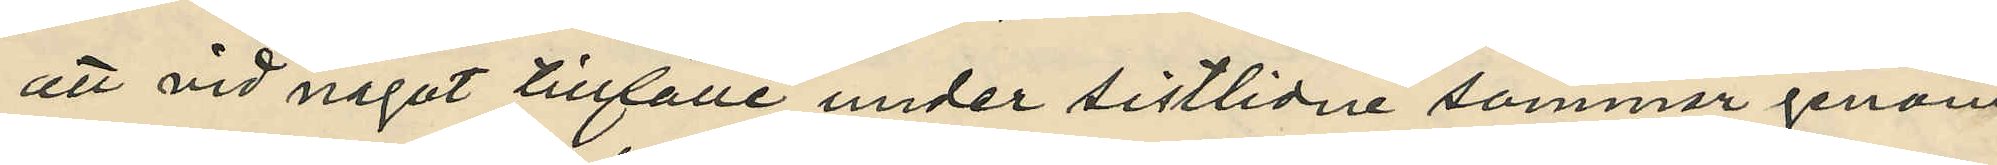att vid något tillfälle under sistlidne sommar genom
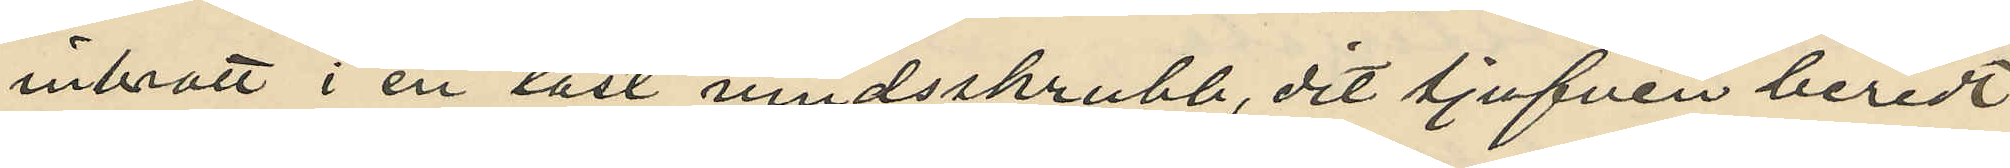inbrott i en låst vindsskrubb, dit tjufven beredt
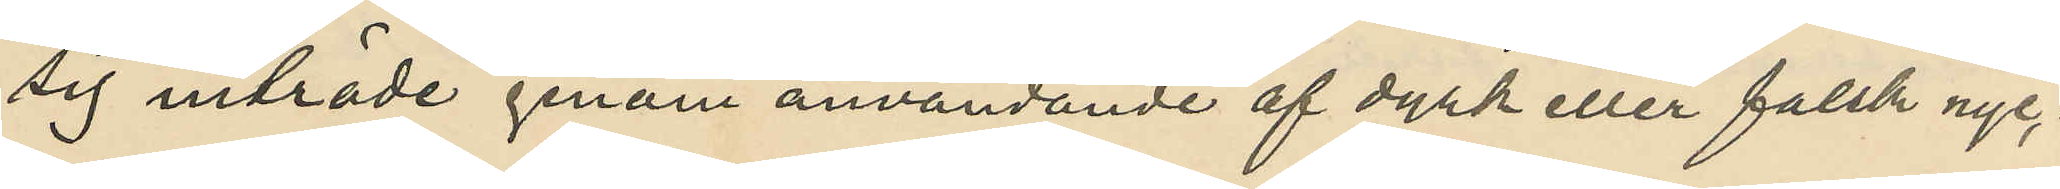sig inträde genom användande af dyrk eller falsk nyc¬
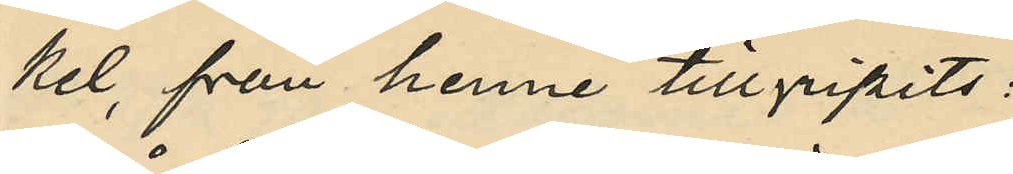kel, från henne tillgripits:
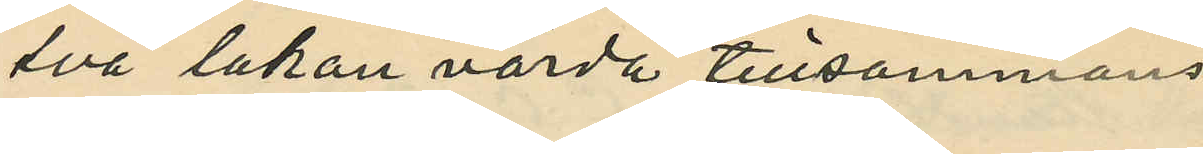två lakan värda tillsammans
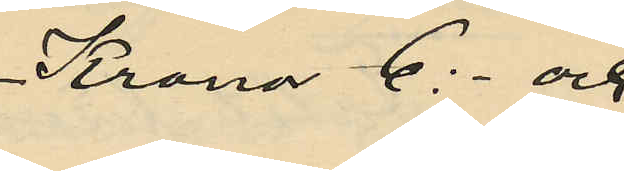Kronor 6:- och
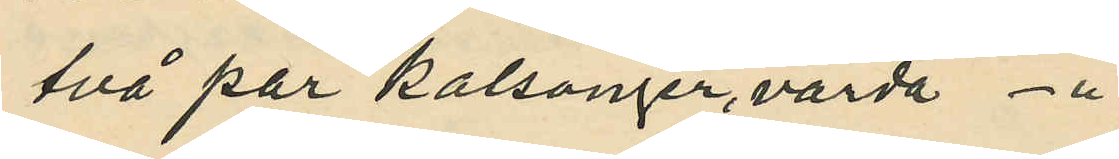två par kalsonger, värda - "-
